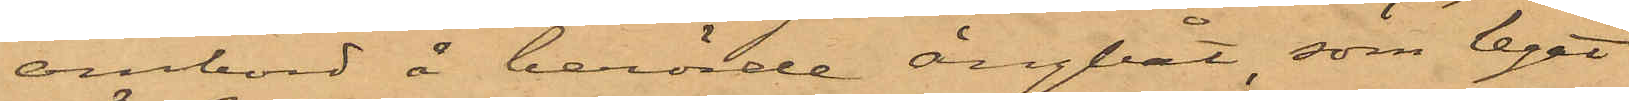ombord å berörde ångbåt, som legat
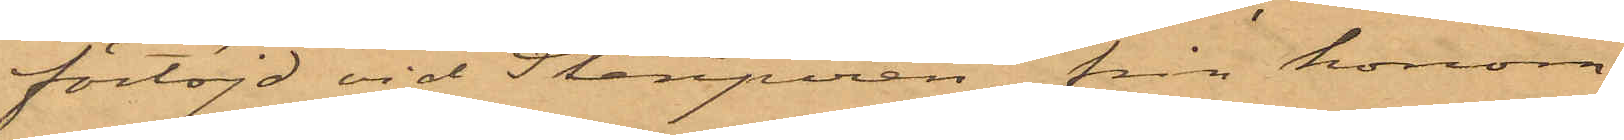förtöjd vid Stenpiren, från honom
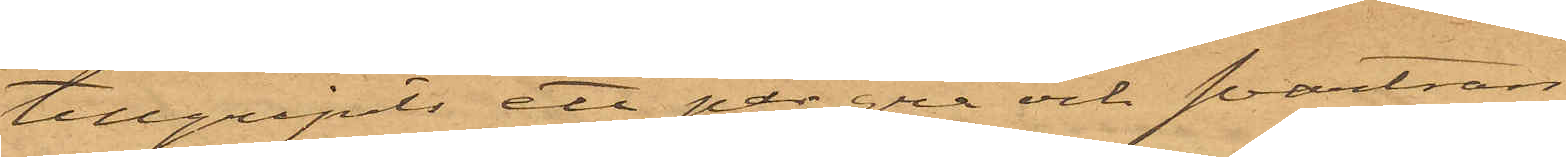tillgripits ett par grå och svartran¬
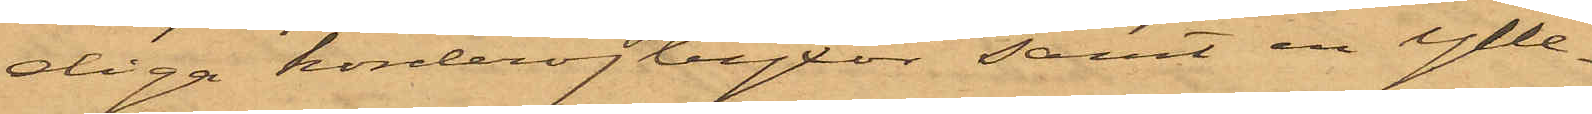diga korderojbyxor samt en ylle¬
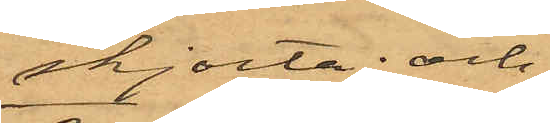skjorta; och
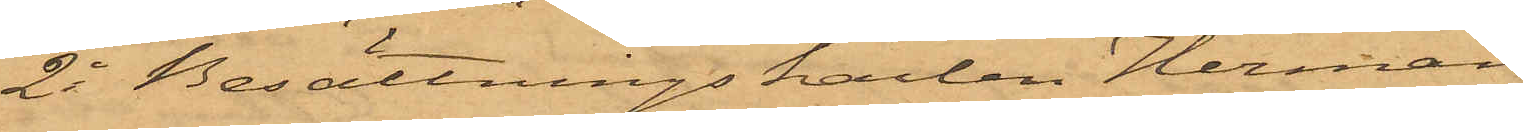2o Besättningskarlen Herman
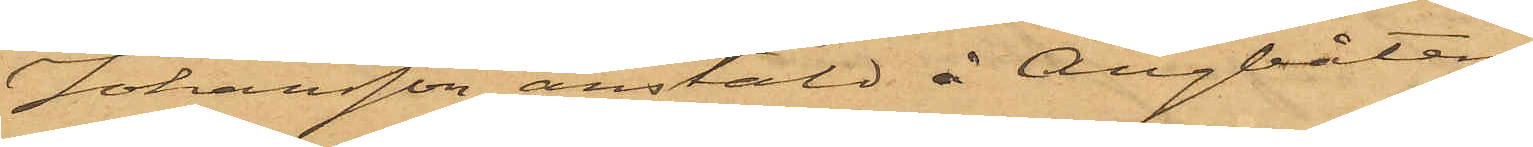Johansson, anstäld å Ångbåten
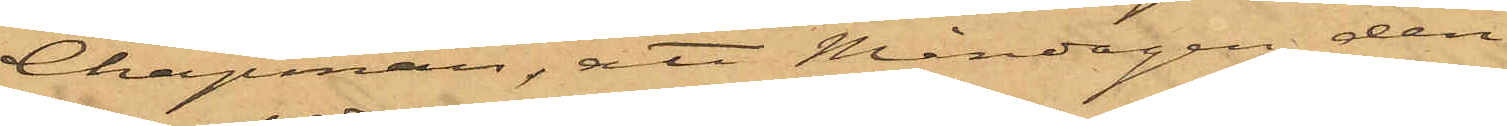Chapman; att Måndagen den
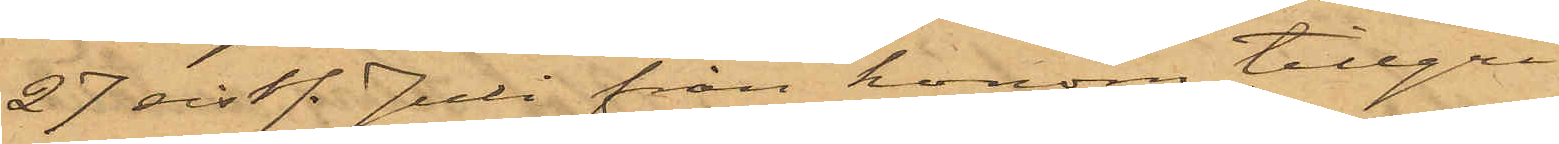27 sist. Juli från honom tillgri¬
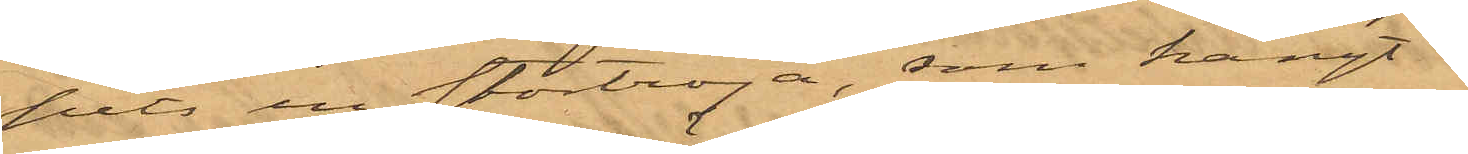pits en stortröja, som hängt i
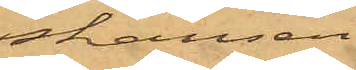skansen
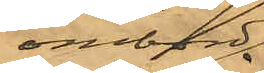ombord
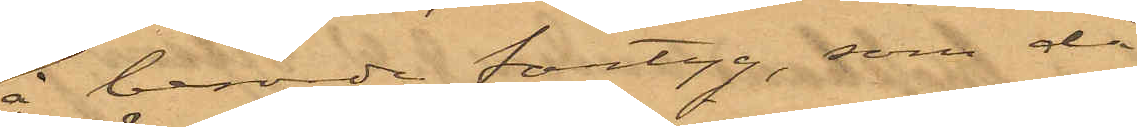å berörde fartyg, som då
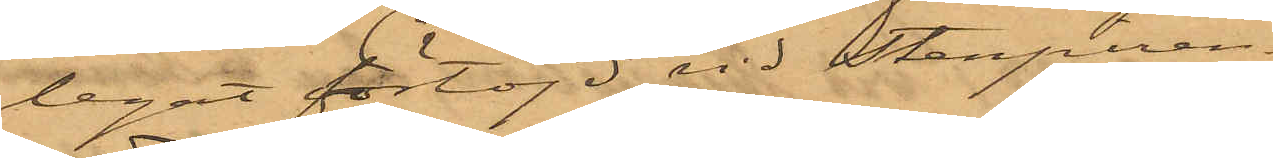legat förtöjd vid Stenpiren.
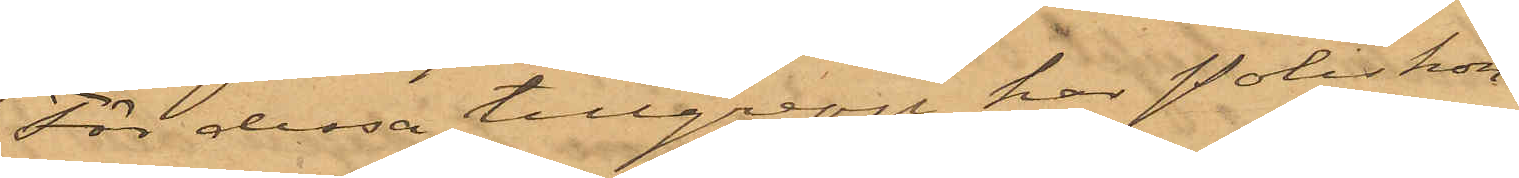För dessa tillgrepp har Poliskon¬
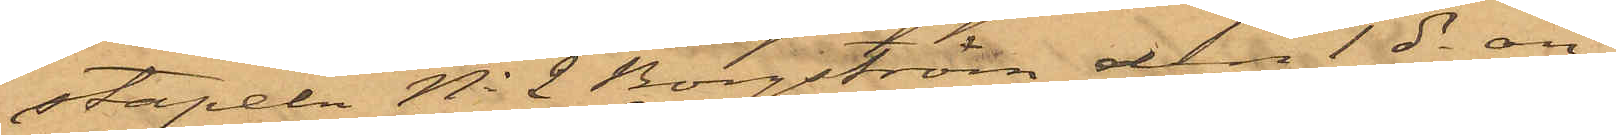stapeln No 2 Borgström den 1 ds an¬
